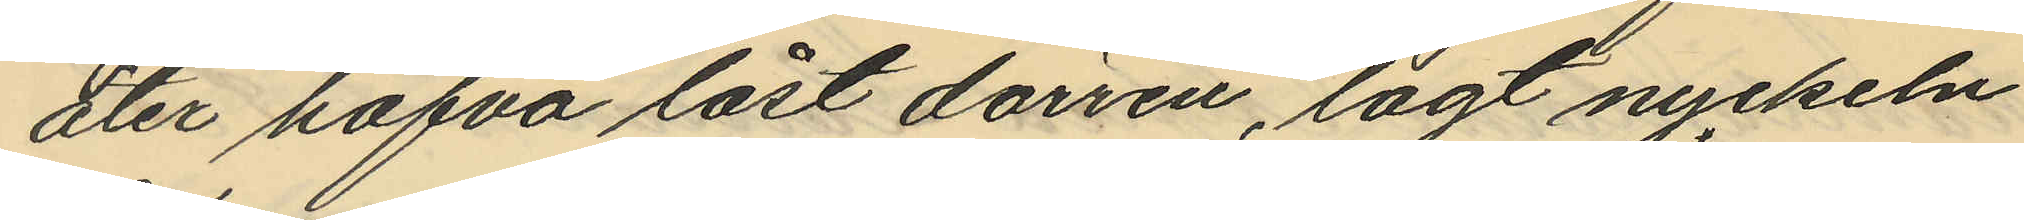åter hafva låst dörren, lagt nyckeln
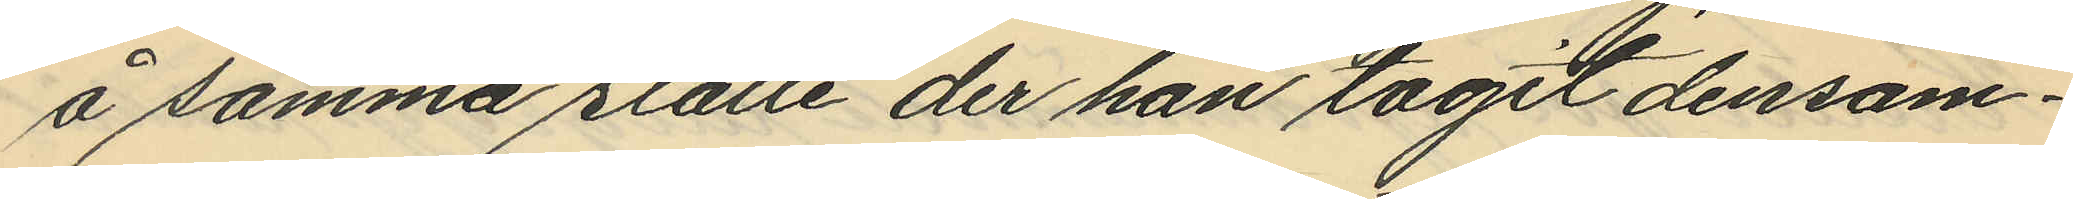å samma ställe der han tagit densam¬
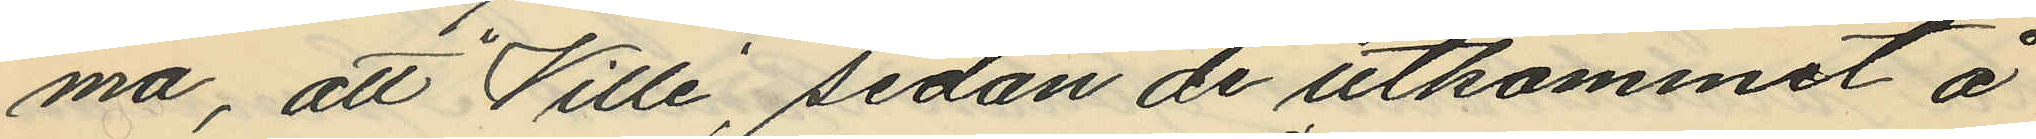ma, att "Ville", sedan de utkommit å
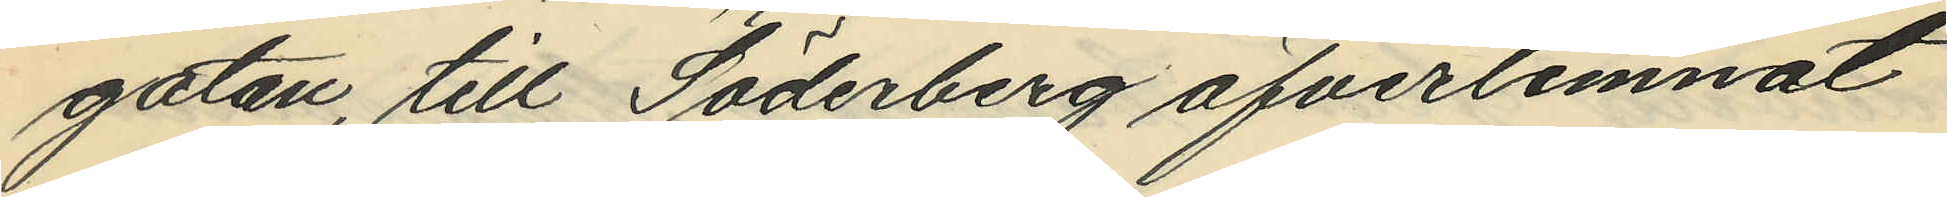gatan, till Söderberg öfverlemnat
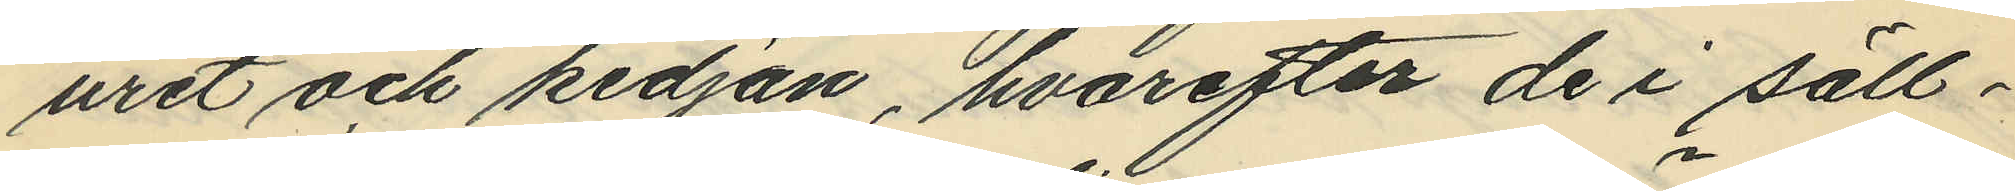uret och kedjan, hvarefter de i säll¬
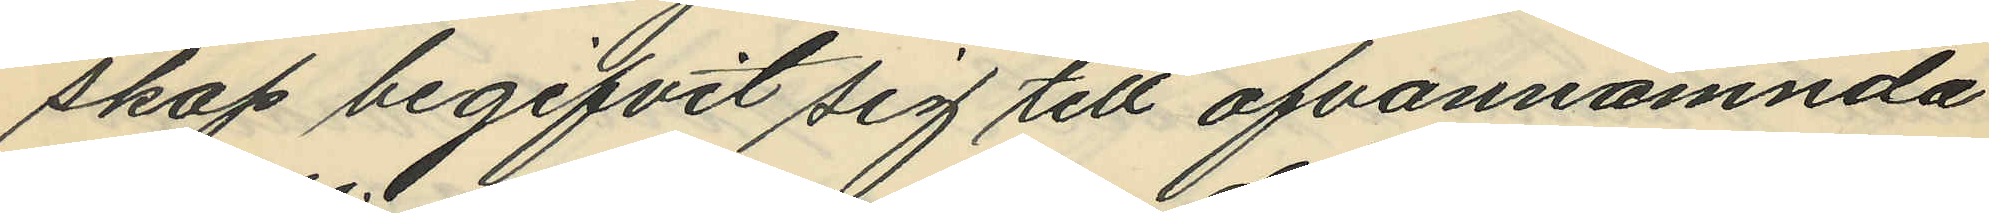skap begifvit sig till ofvannämnda
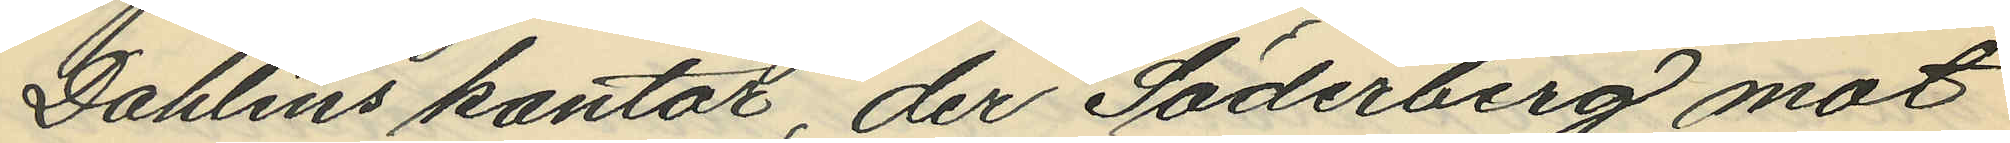Dahlins kontor, der Söderberg mot
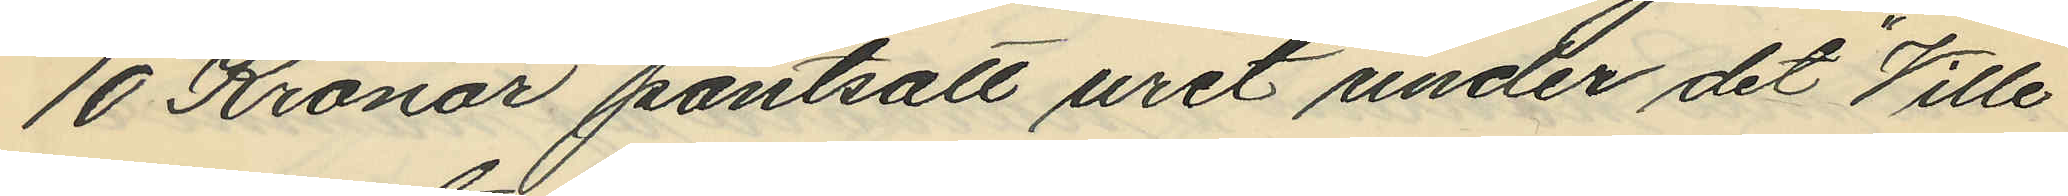10 Kronor pantsatt uret under det "Ville"
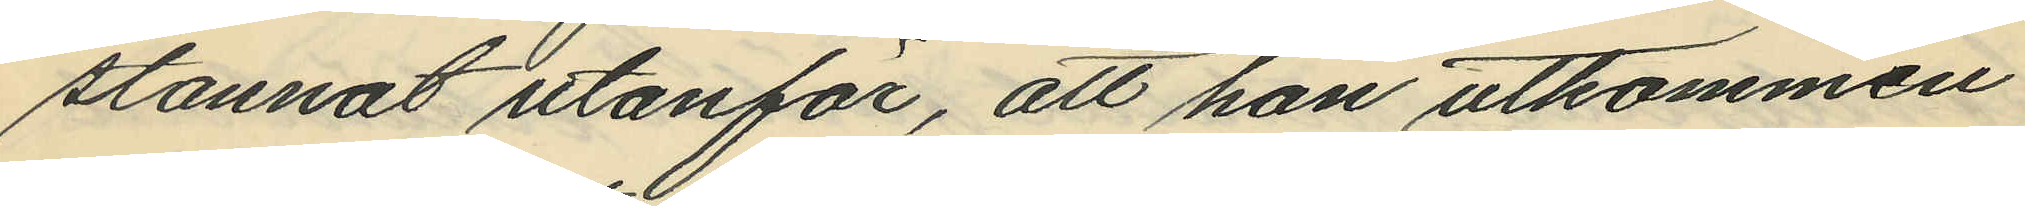stannat utanför, att han utkommen
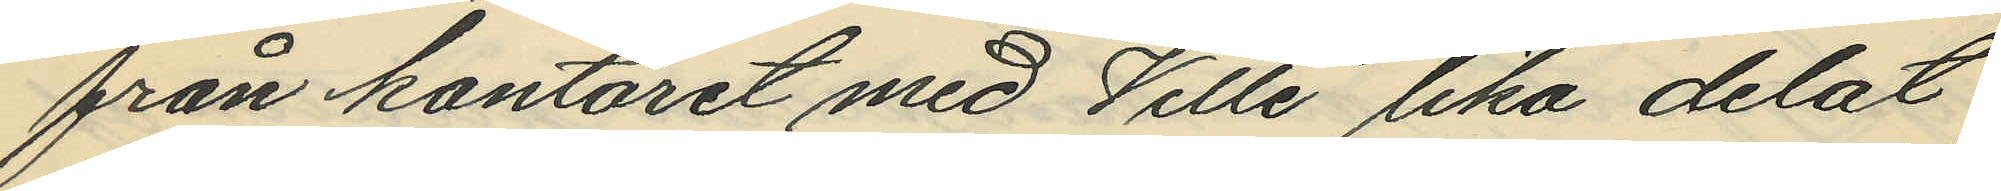från kontoret med "Ville" lika delat
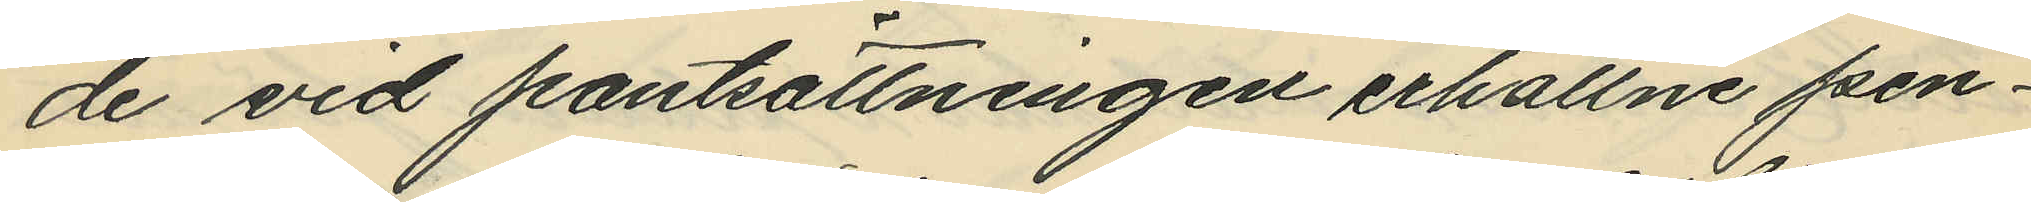de vid pantsättningen erhållne pen¬
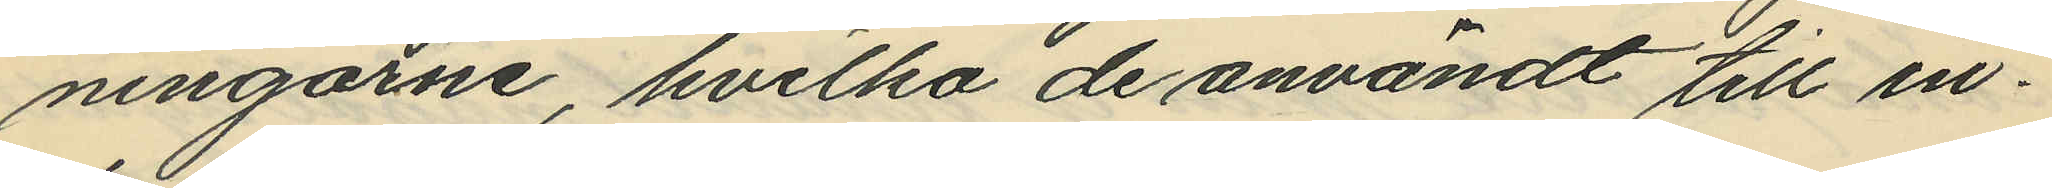ningarne, hvilka de användt till in¬
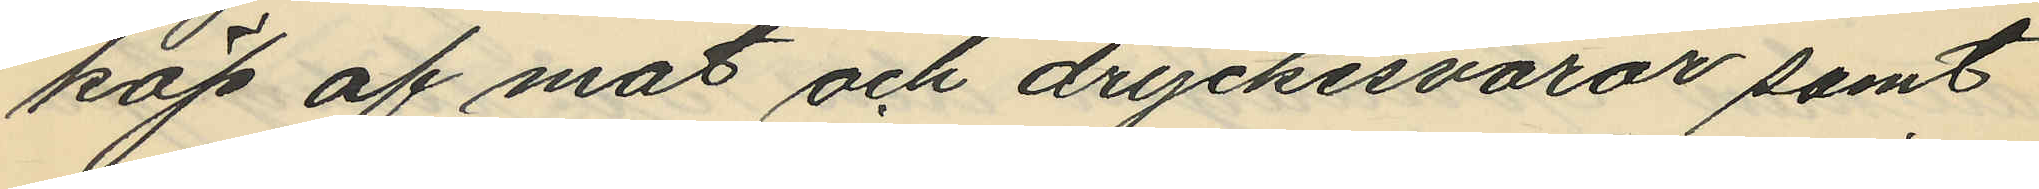köp af mat och dryckesvaror samt
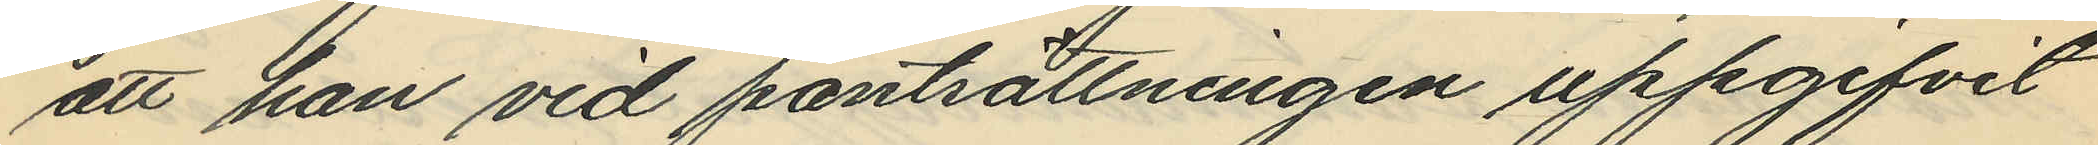att han vid pantsättningen uppgifvit
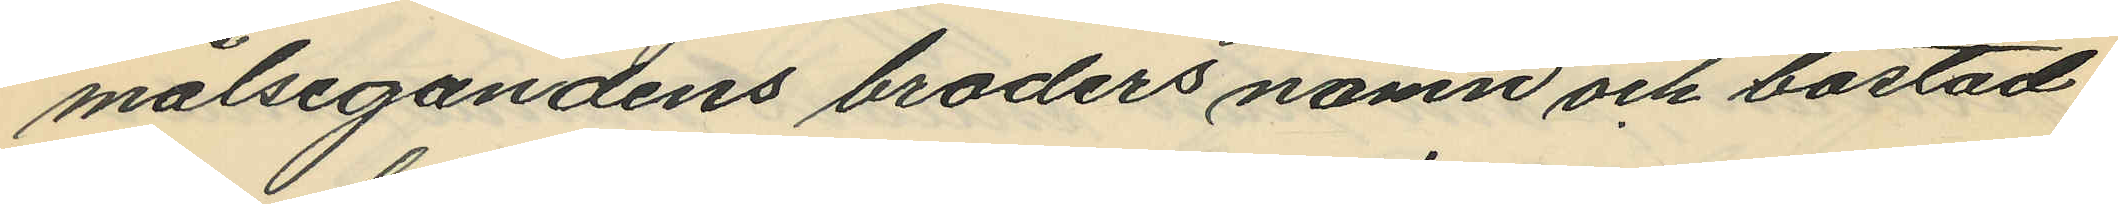målsegandens broders namn och bostad.
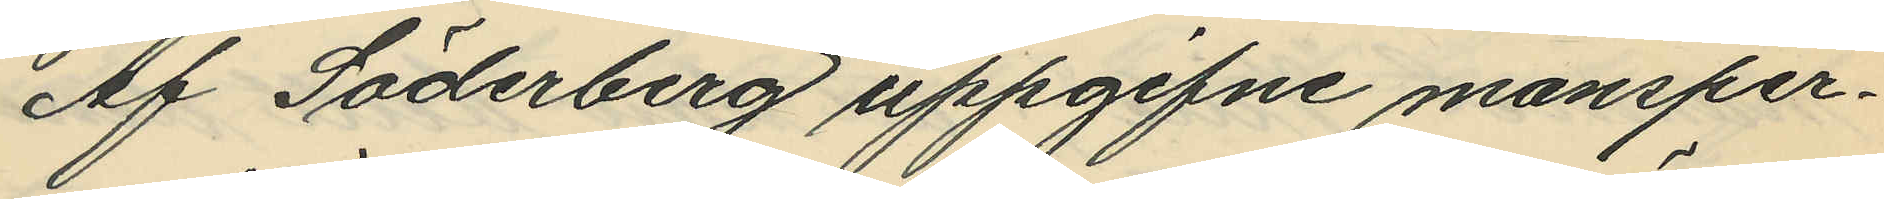Af Söderberg uppgifne mansper¬
